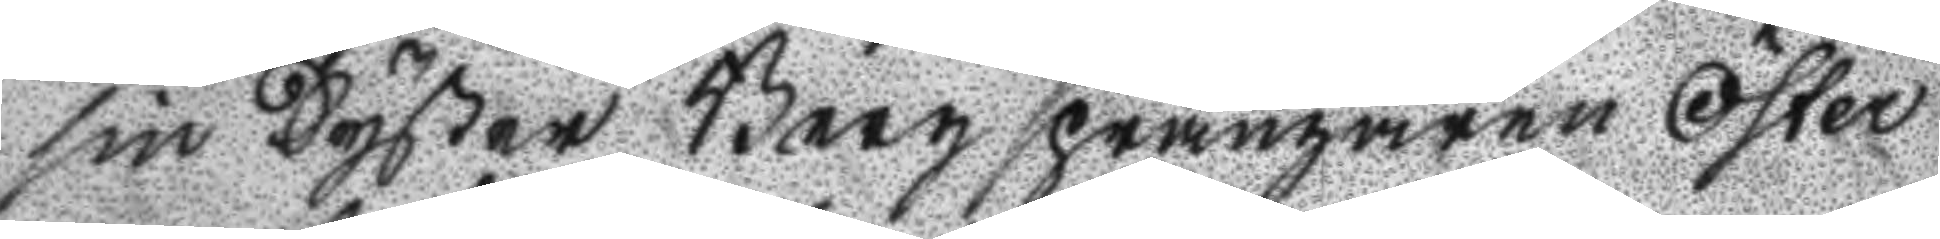sin Syster Bergsprängaren Öster
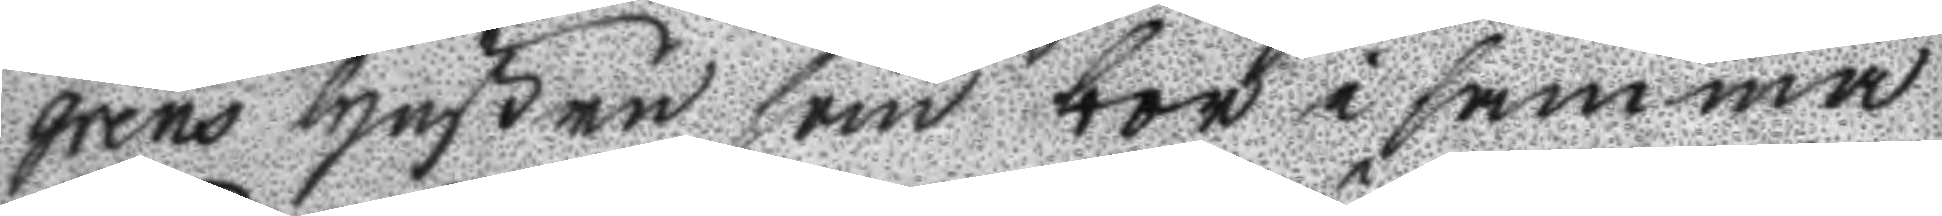grens hustru som bor i samma
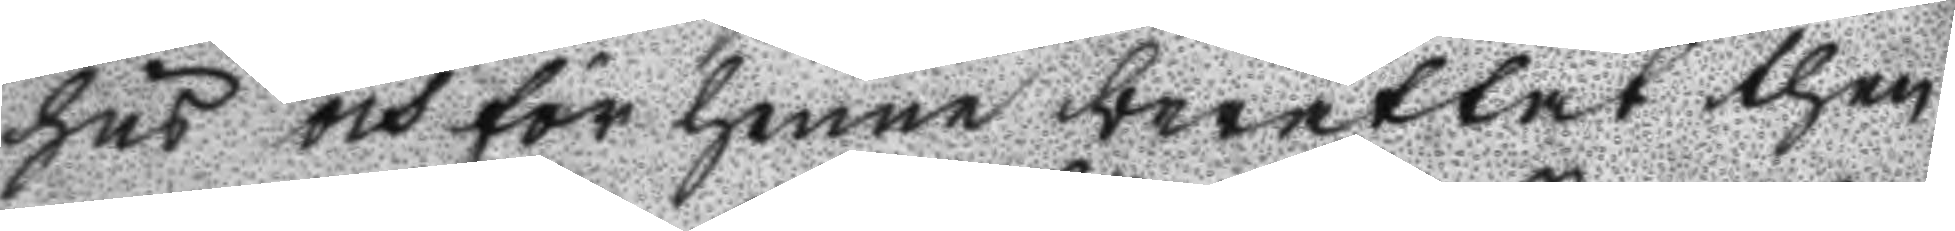hus och för henne berättat then
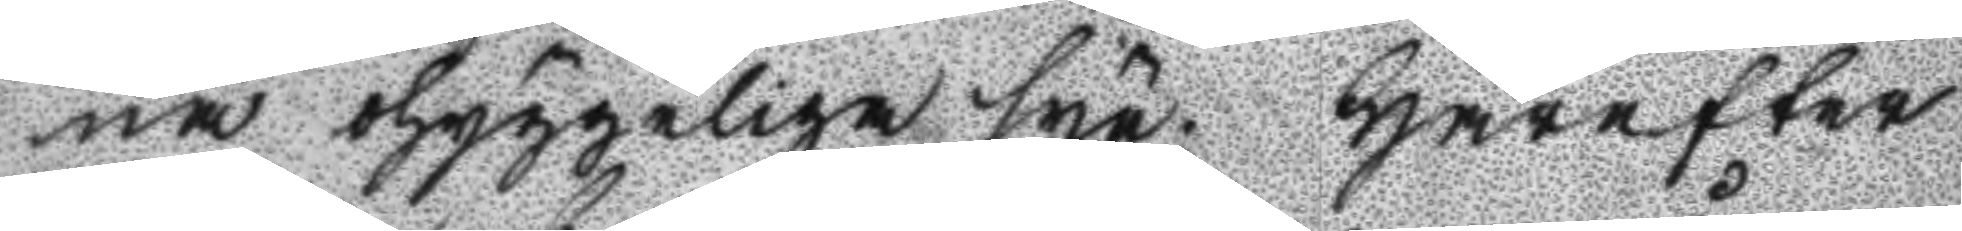na ohyggeliga syn. Härefter
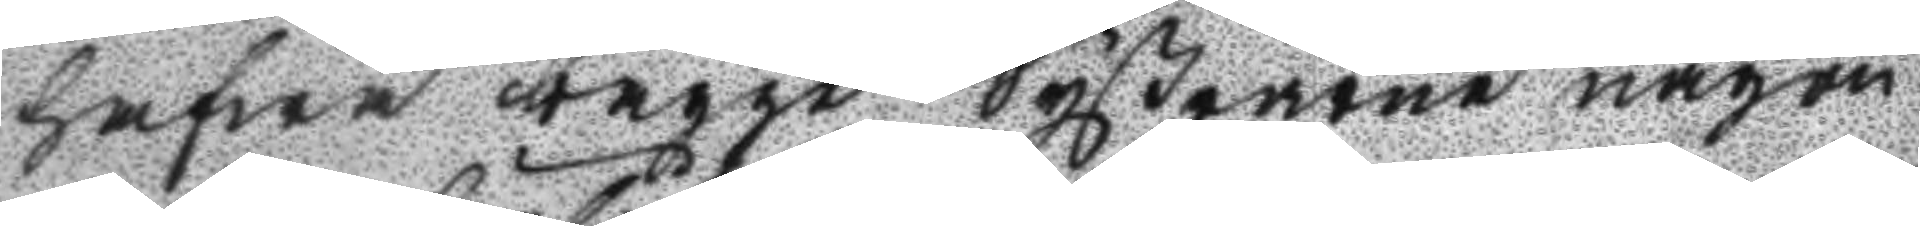hafwa bägge Systrarne någon
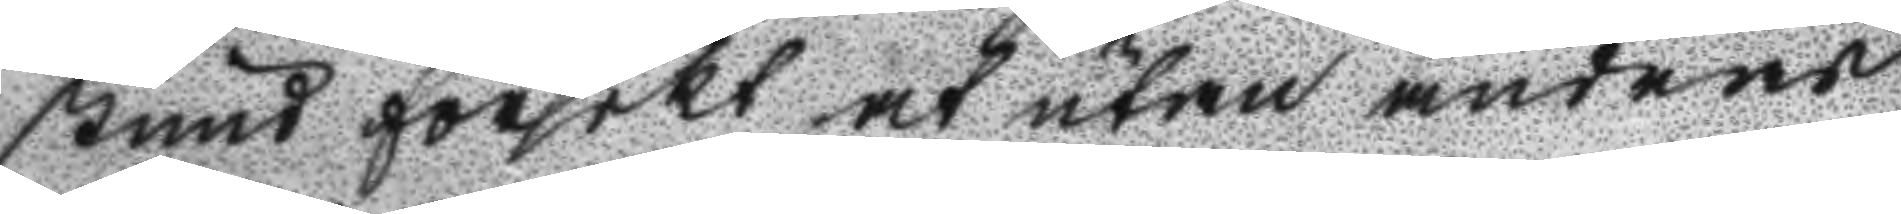stund försökt at utan andres
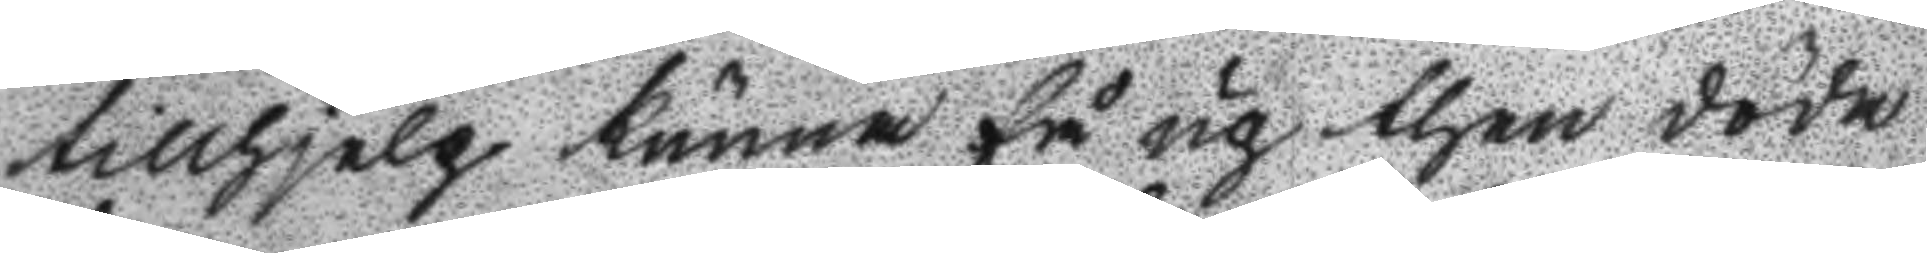tillhjelp kunna få up then döda
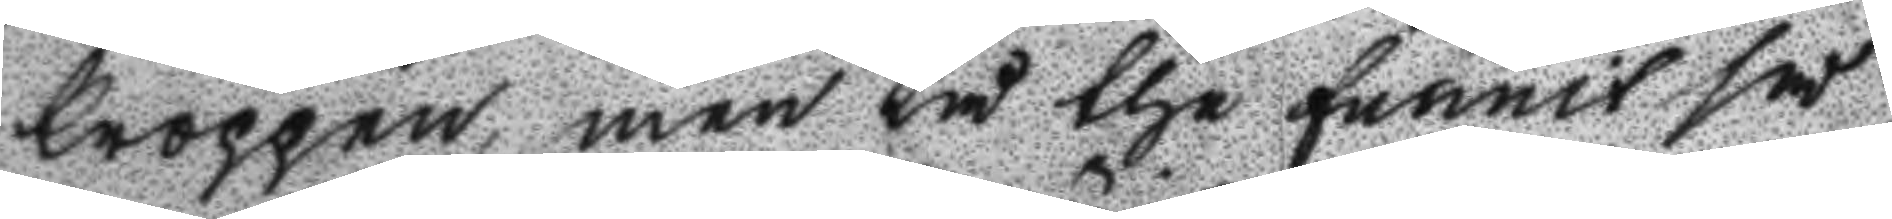kroppen, men tå the funnit så
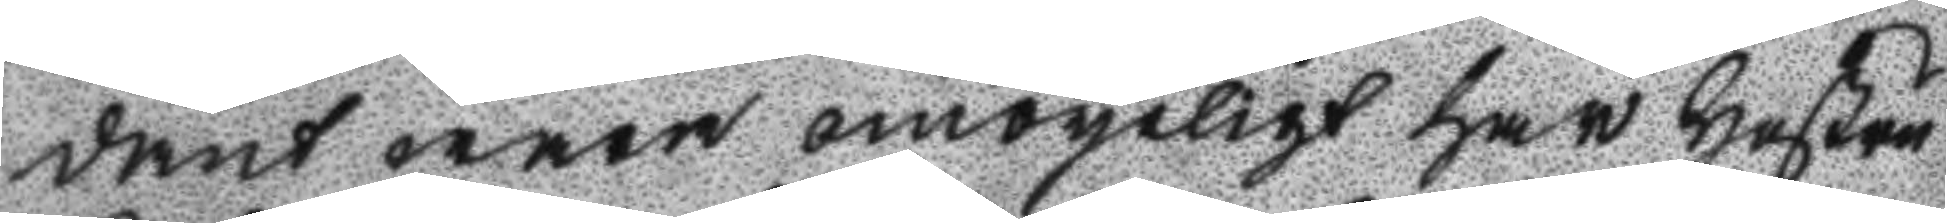dant wara omöyeligt har hustru
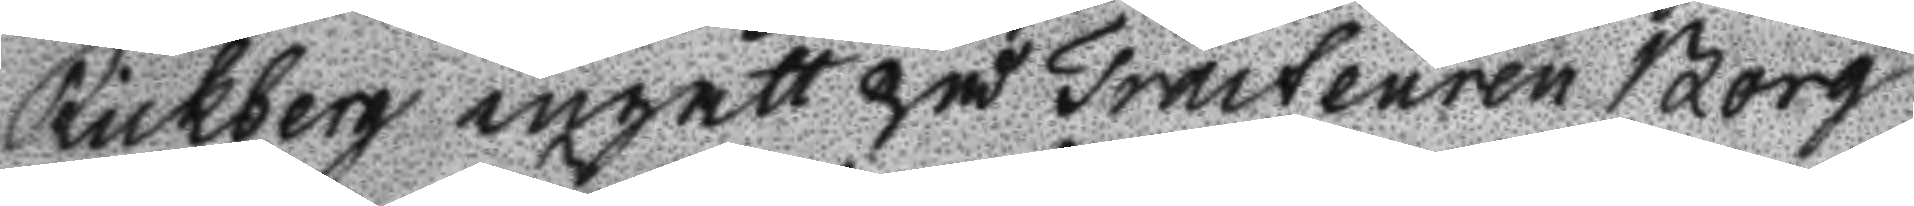Rickberg ingått på Tracteuren Borg
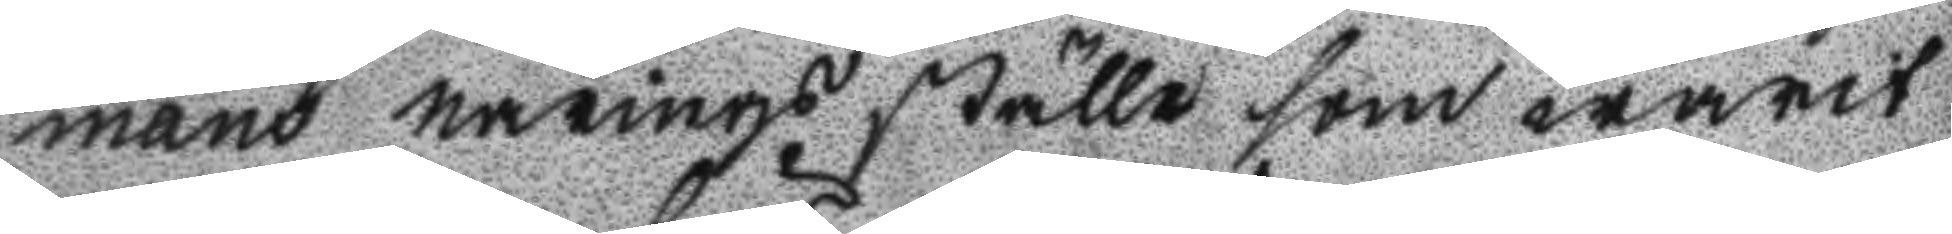mans närings ställe som warit
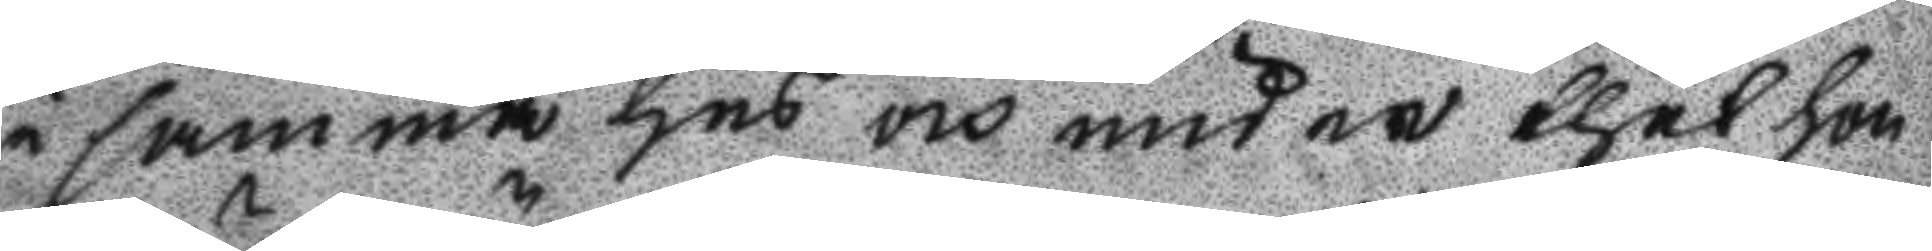i samma hus och under thet hon
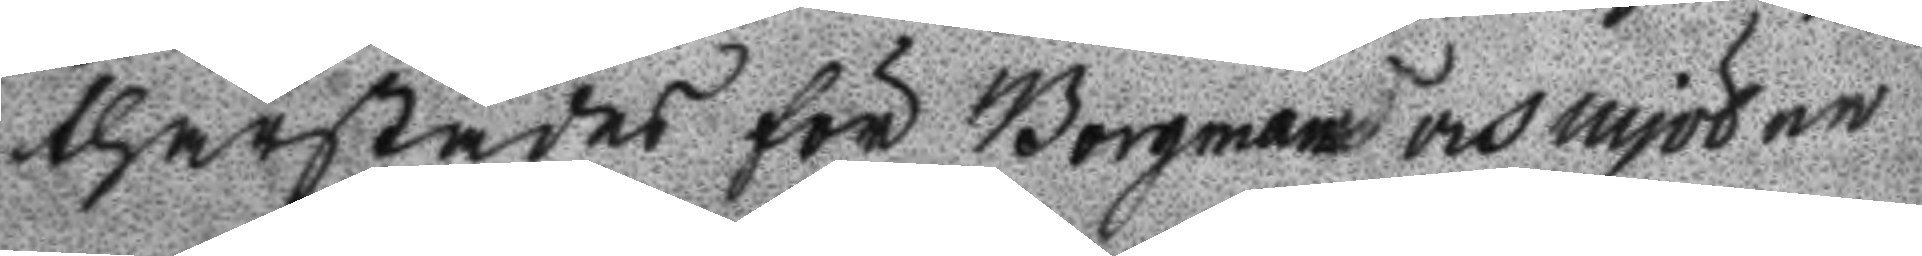thärstädes för Borgman och mjölne
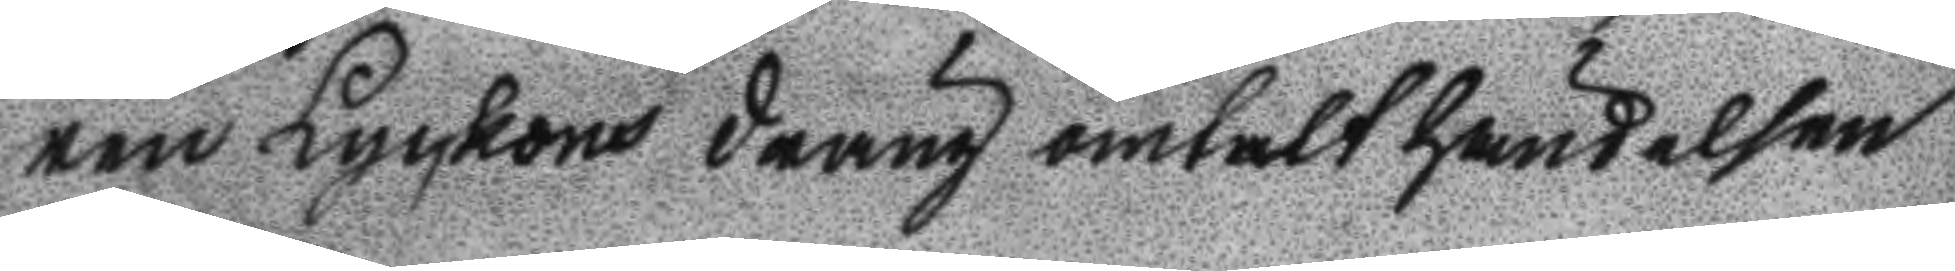ren Lyckous dräng omtalt händelsen
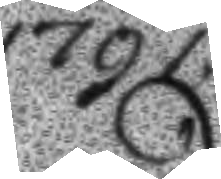1791.
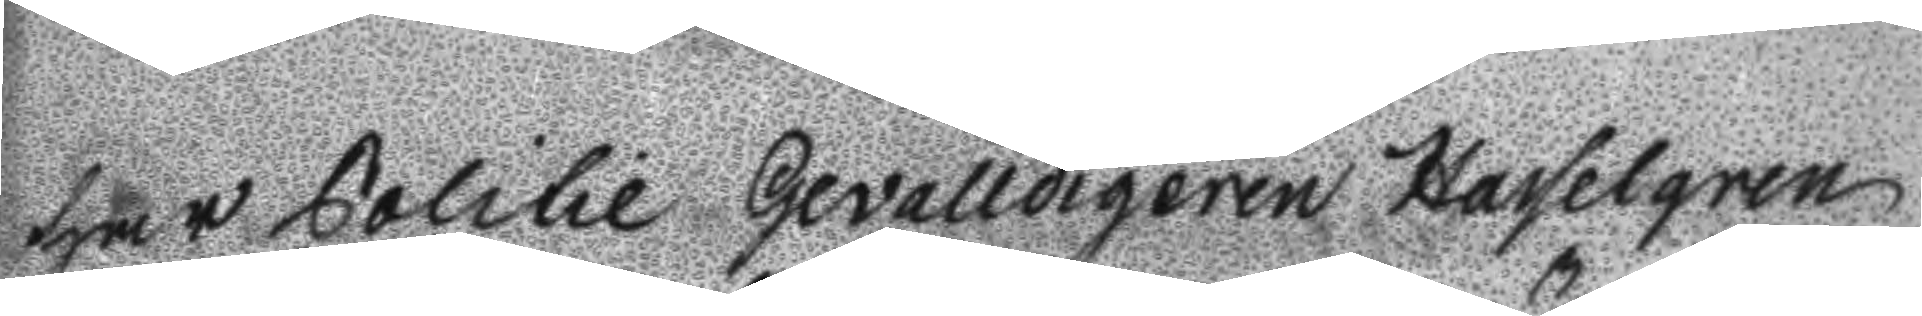har Politie Gevalldigeren Hasselgren
